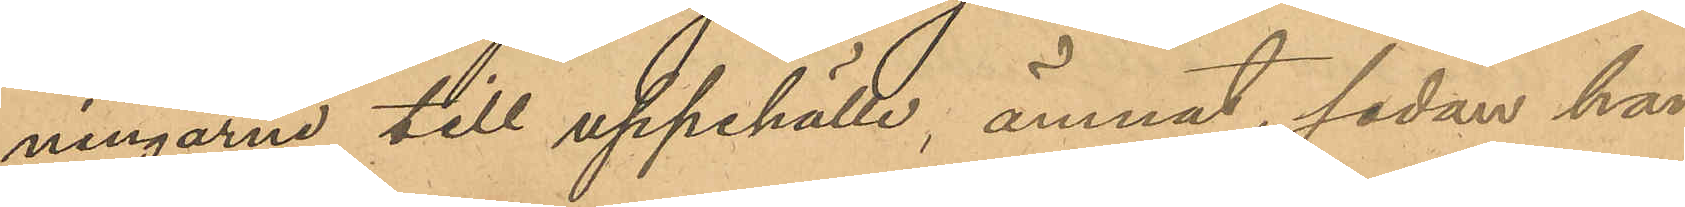ningarne till sitt uppehälle, ämnat, sedan han
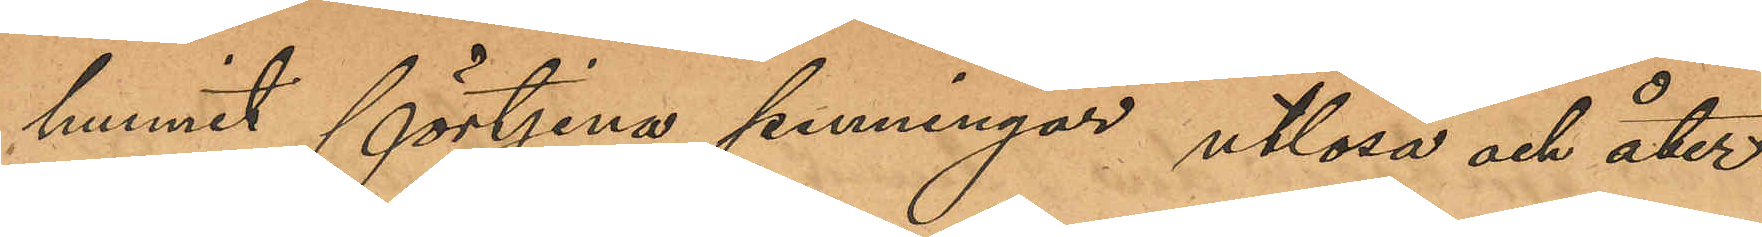hunnit förtjena penningar utlösa och åter¬
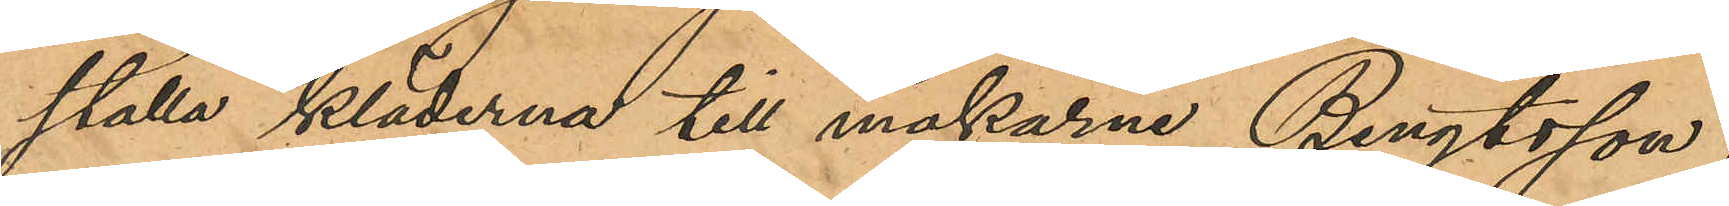ställa kläderna till makarna Bengtsson;
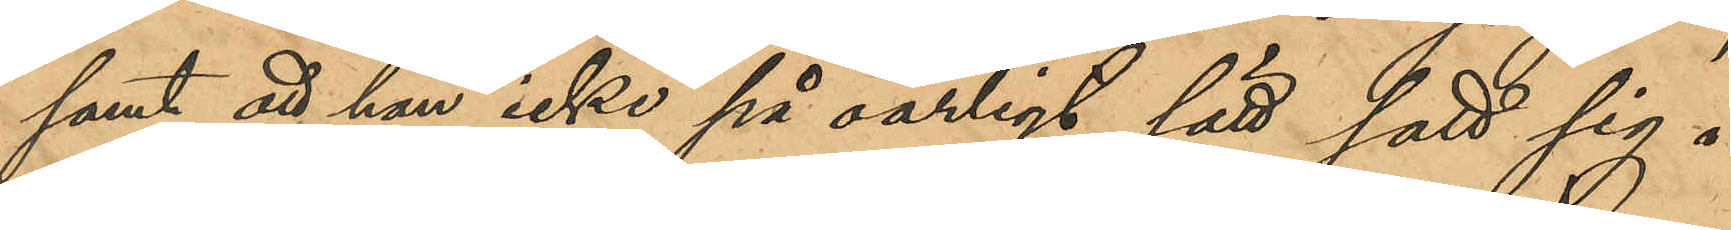samt att han icke på oärligt sätt satt sig i
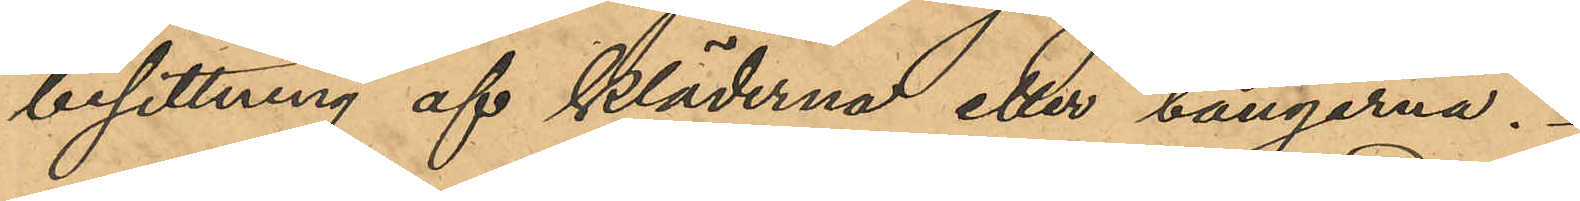besittning af kläderna och tängerna.
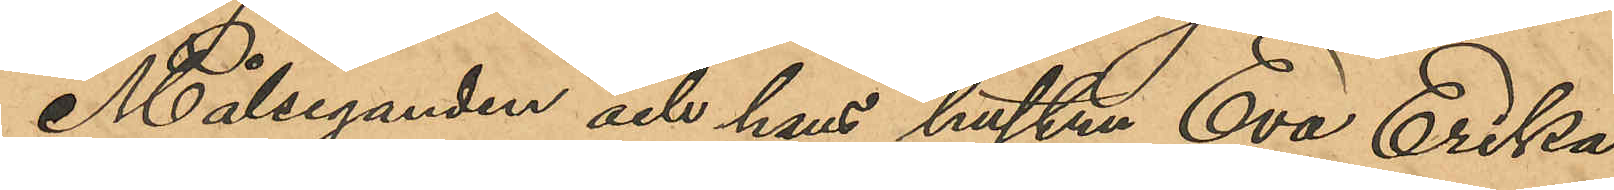Målseganden och hans hustru Eva Erika
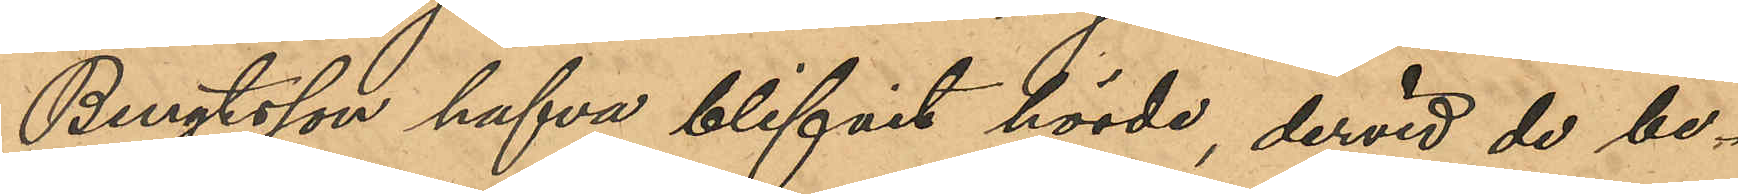Bengtsson hafva blifvit hörde, dervid de be¬
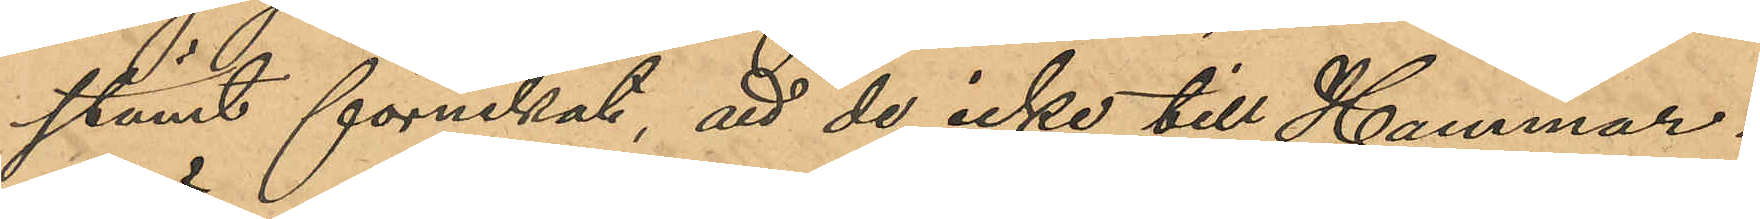stämt förnekat, att de icke till Hammar¬
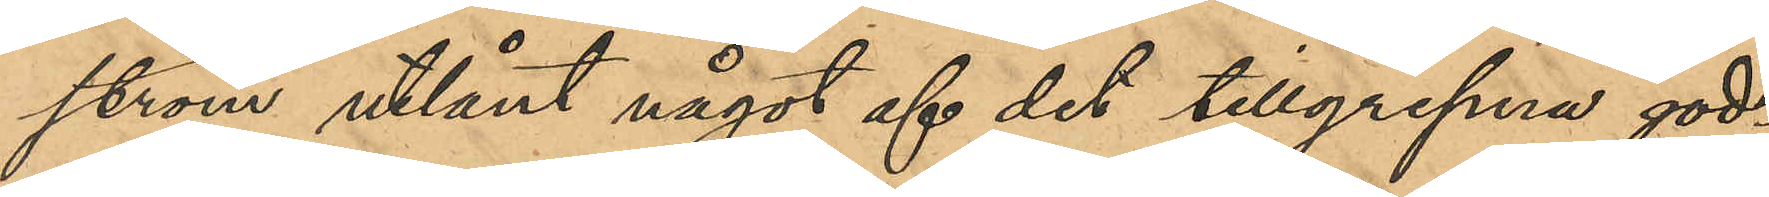ström utlånat något af det tillgripna god¬
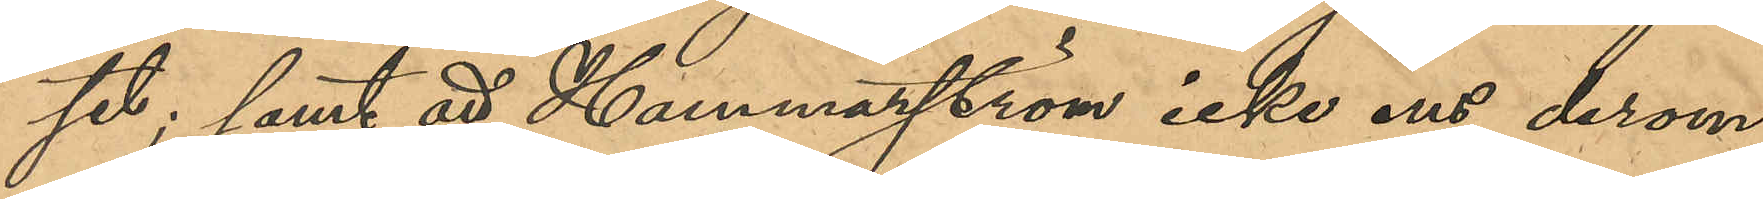set; samt att Hammarström icke ens derom
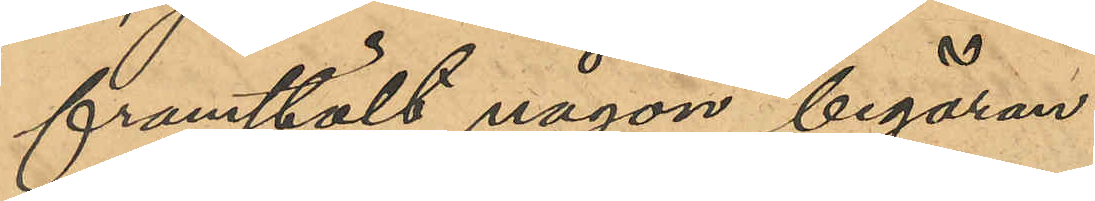framstält någon begäran.
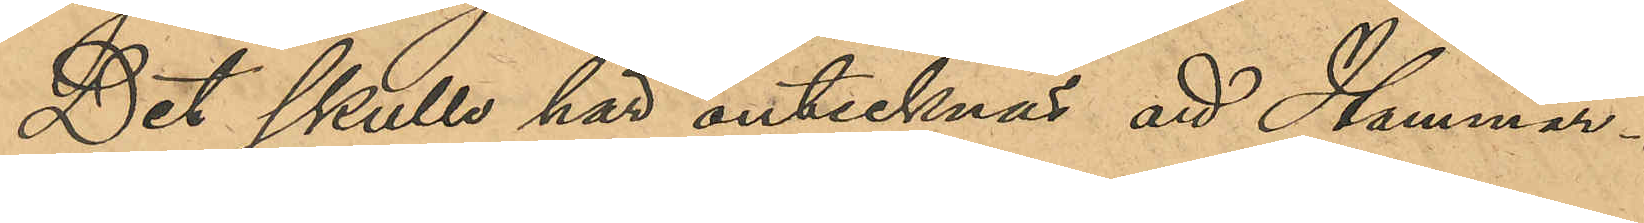Det skulle här antecknas att Hammar¬
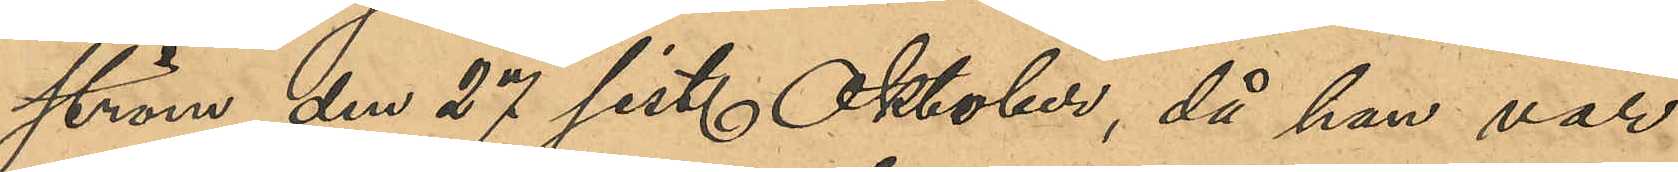ström den 27 sist. Oktober, då han var
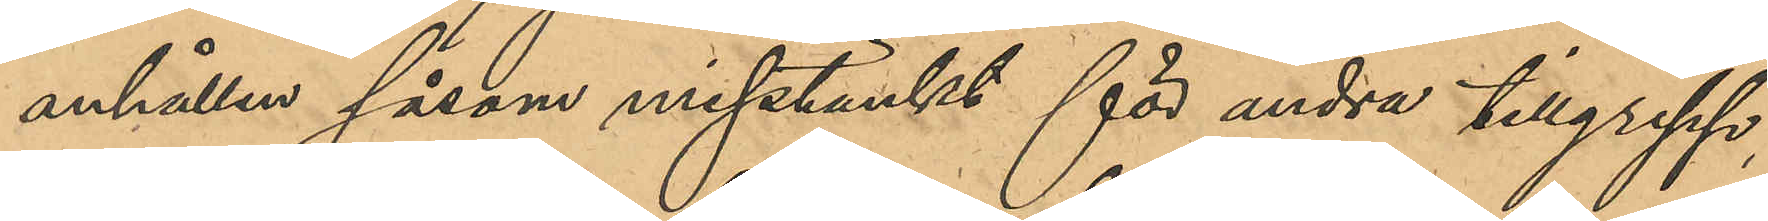anhållen såsom misstänkt för andra tillgrepp.
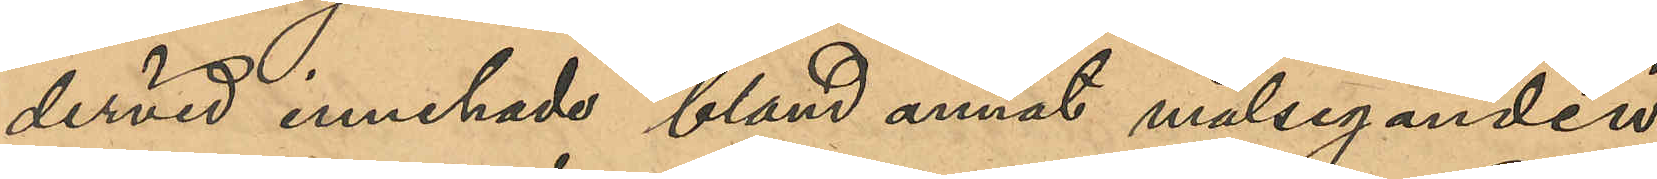dervid innehade bland annat målseganden
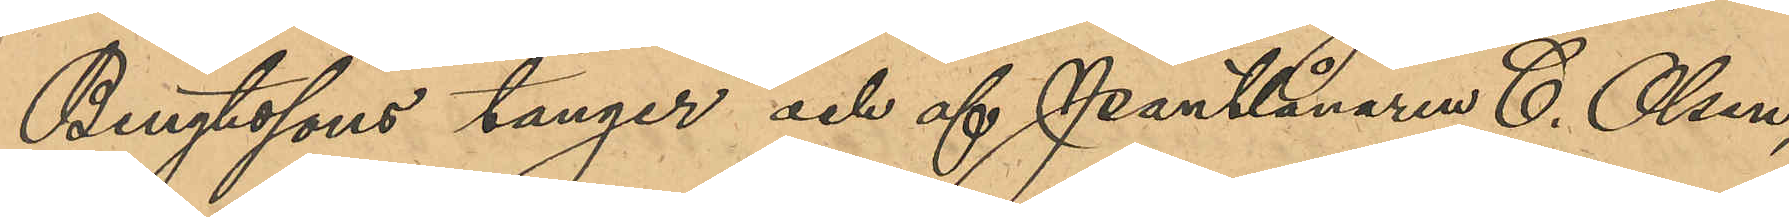Bengtssons tänger och af Pantlånaren C. Olsen,
